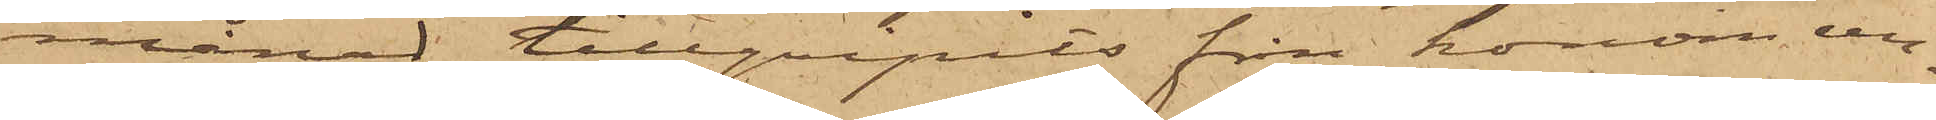månad tillgripits från honom un¬
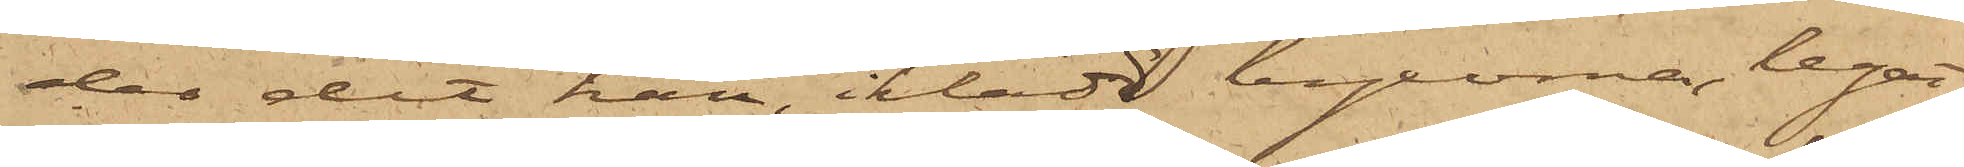der det han, iklädd byxorna, legat
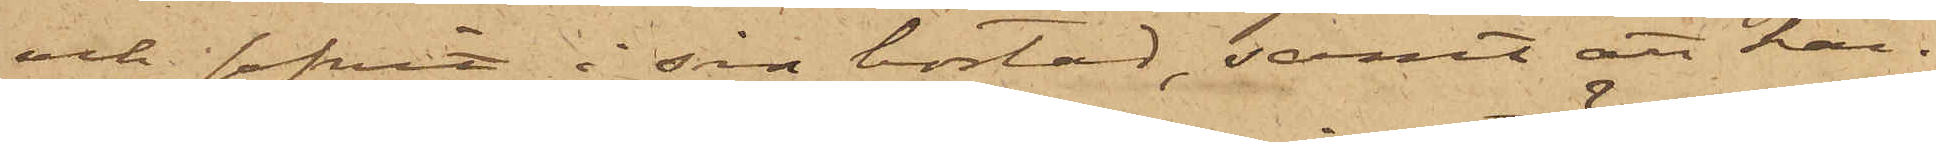och sofvit i sin bostad, samt att han
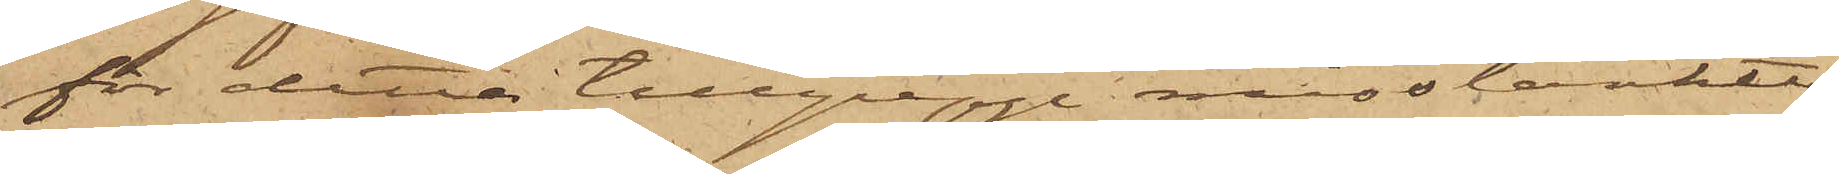för detta tillgrepp misstänkte
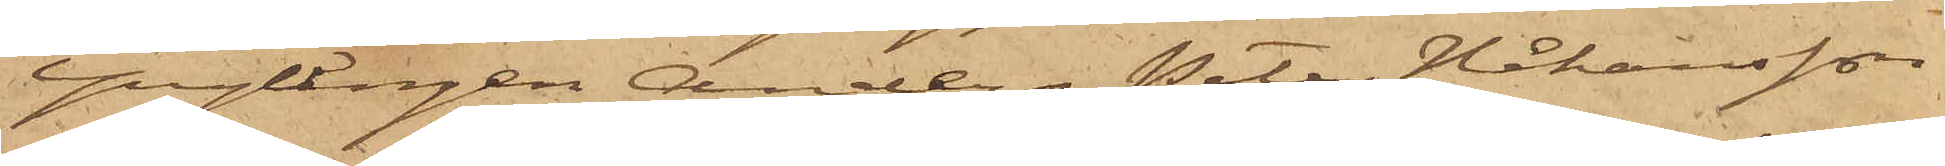Ynglingen Anders Peter Håkansson
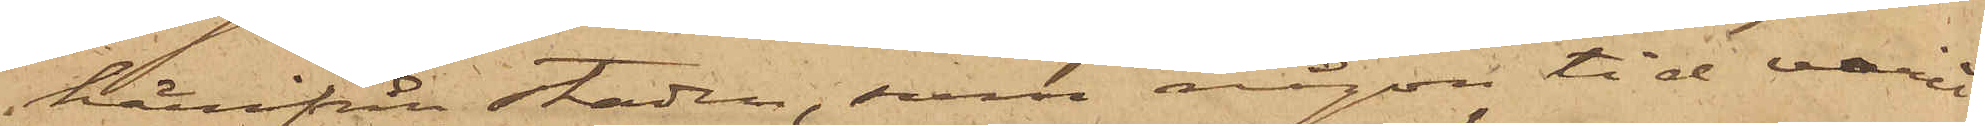härifrån staden, som någon tid varit
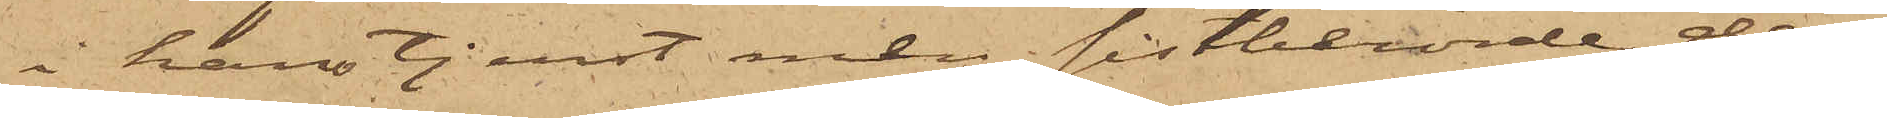i hans tjenst men sistberörde dag
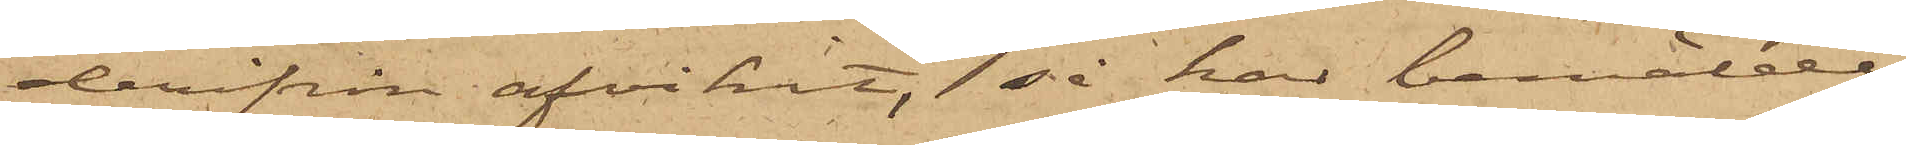derifrån afvikit, så har bemälde
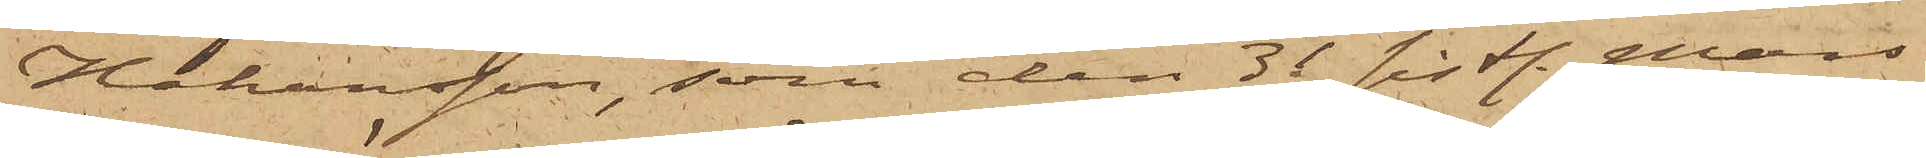Håkansson, som den 31 sistl. Mars
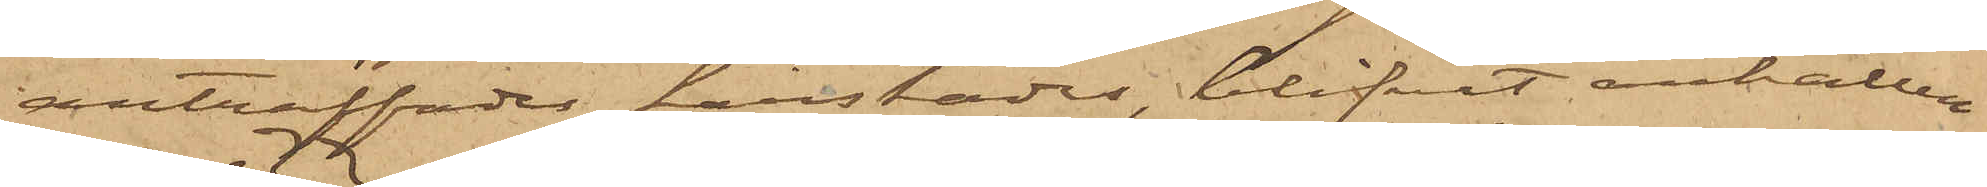anträffades härstädes, blifvit anhållen
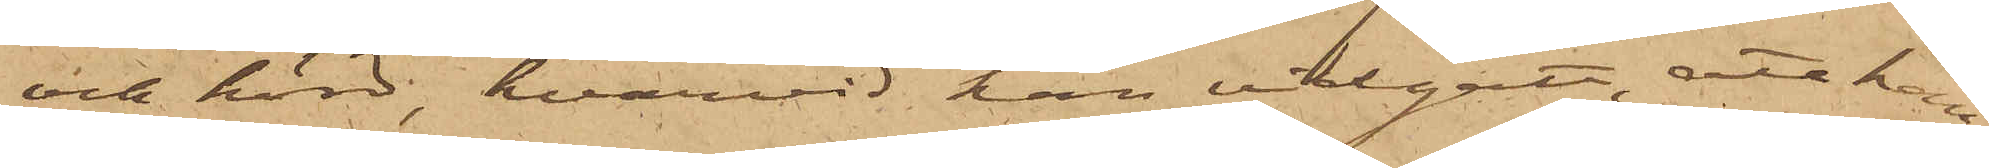och hörd, hvarvid han vidgått, att han
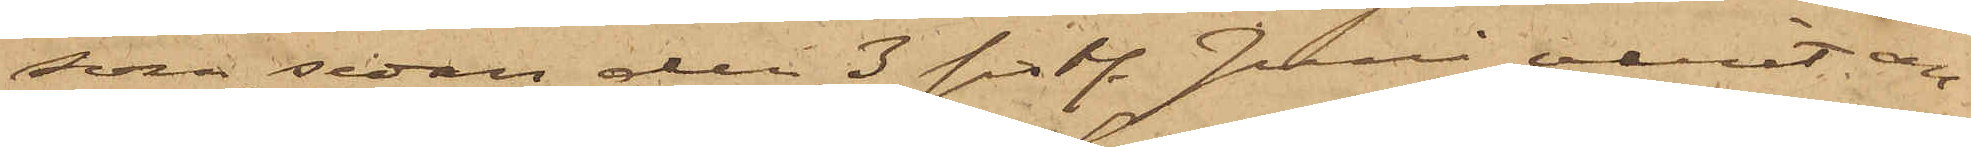som sedan den 3 sistl. Juni varit an¬
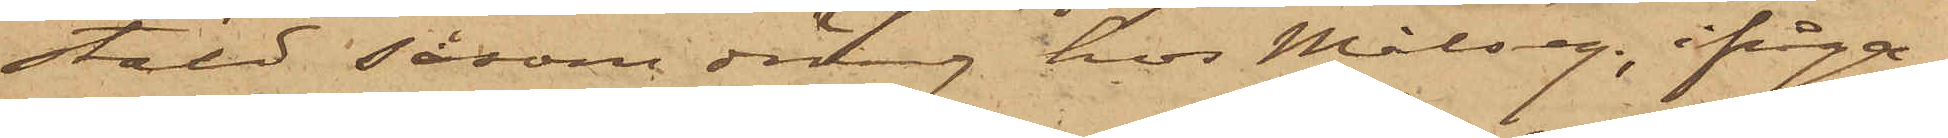stäld såsom dräng hos Målseg., ifråga¬
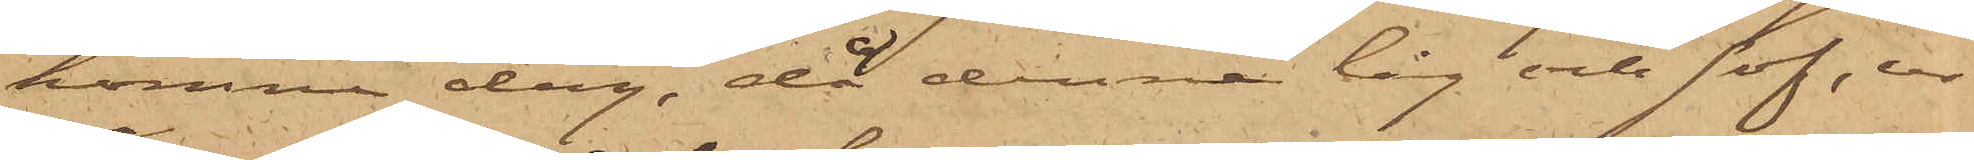komne dag, då denna låg och sof, ur
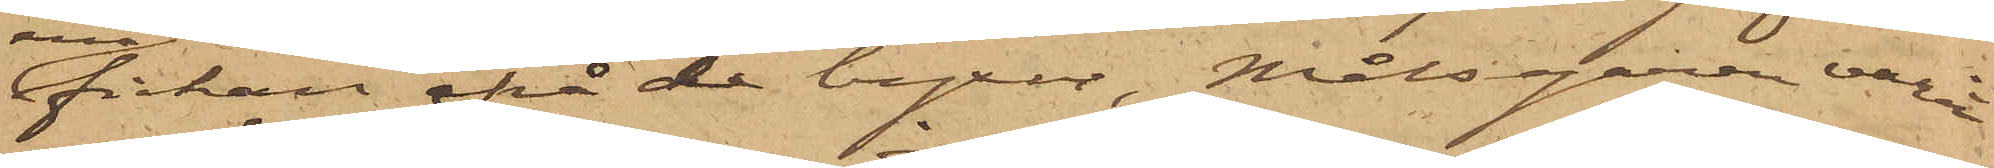fickan på de byxor, Målsegaren varit
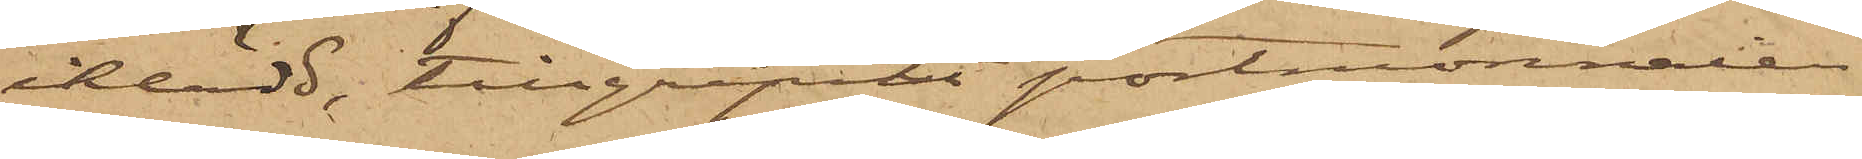iklädd, tillgripit portmonnaien
